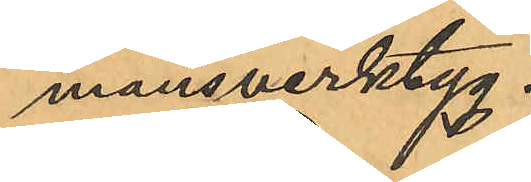mansverktyg.
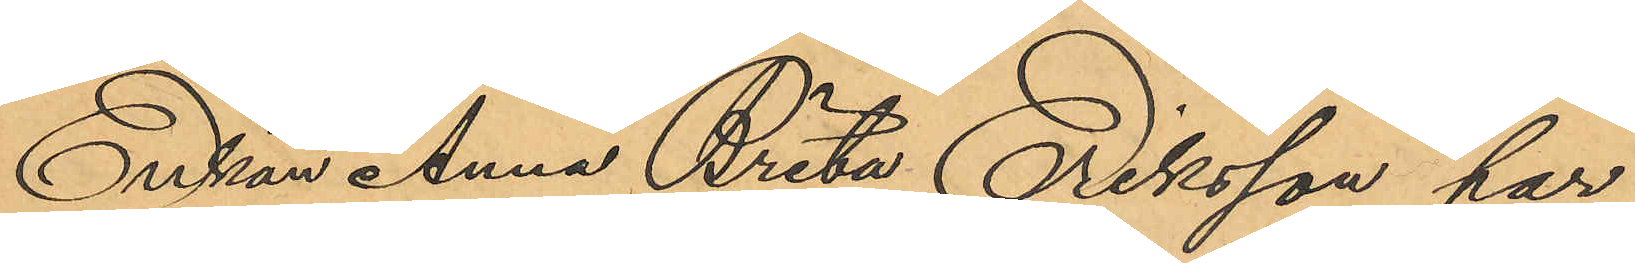Enkan Anna Brita Eriksson har
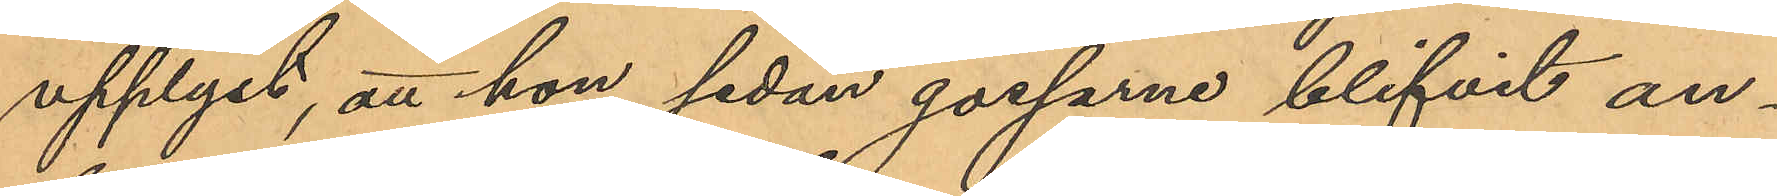upplyst, att hon sedan gossarne blifvit an¬
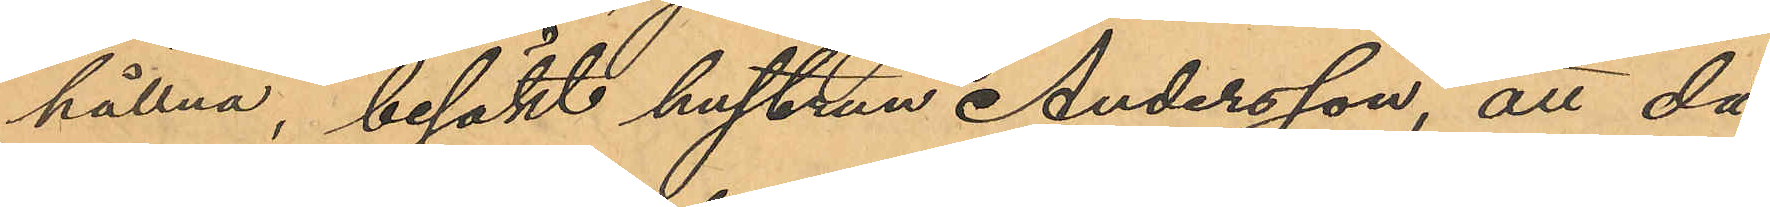hållna, besökt hustrun Andersson, att då
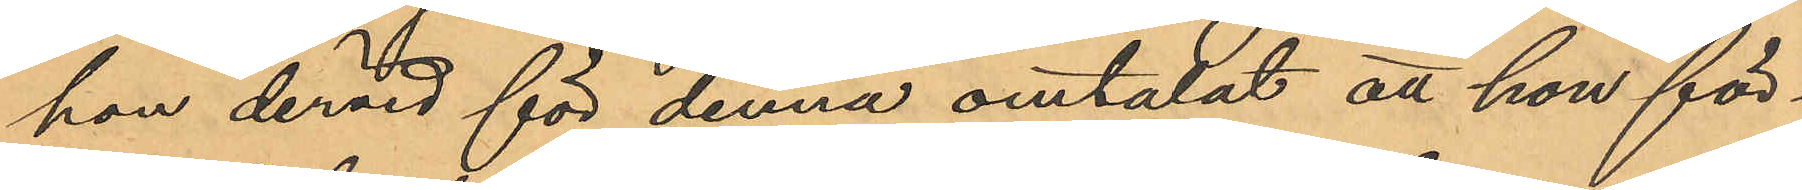hon dervid för denna omtalat att hon för¬
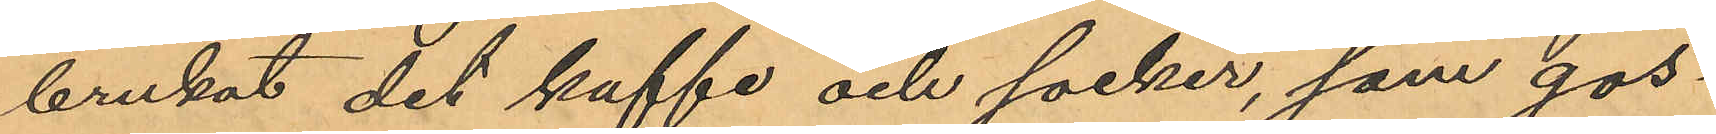brukat det kaffe och socker, som gos¬
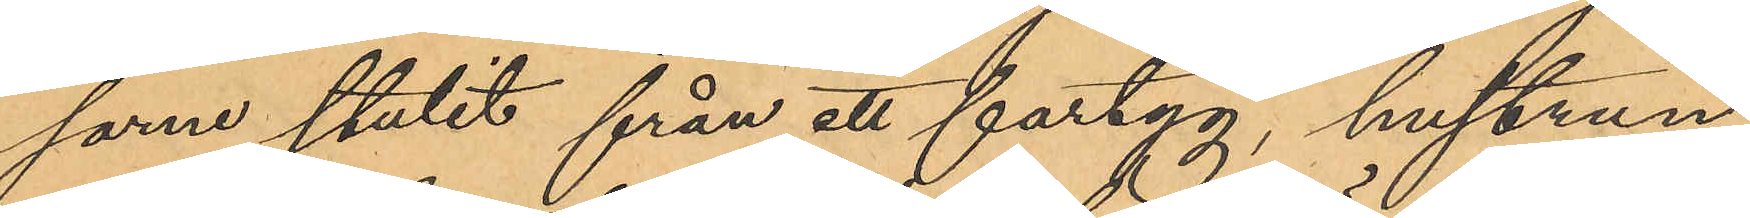same stulit från ett fartyg, hustrun
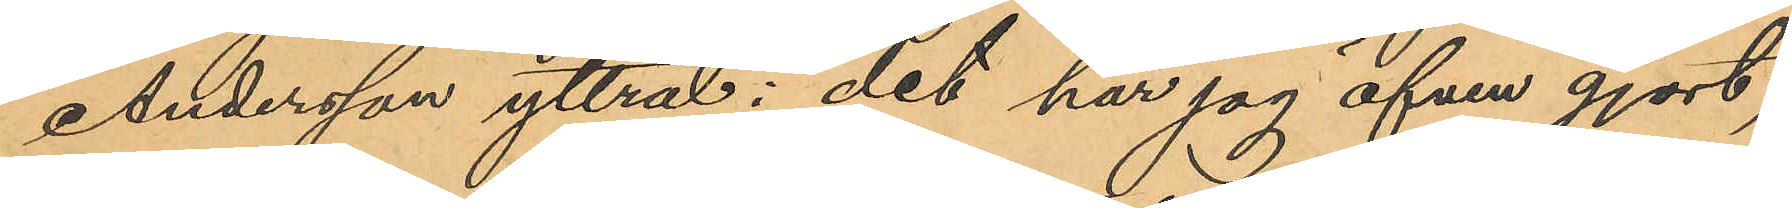Andersson yttrat: "det har jag äfven gjort,
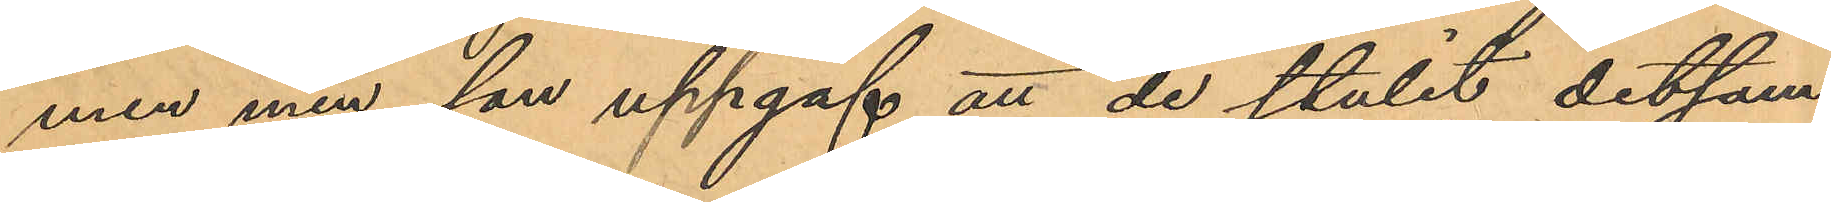men min son uppgaf att de stulit detsam¬
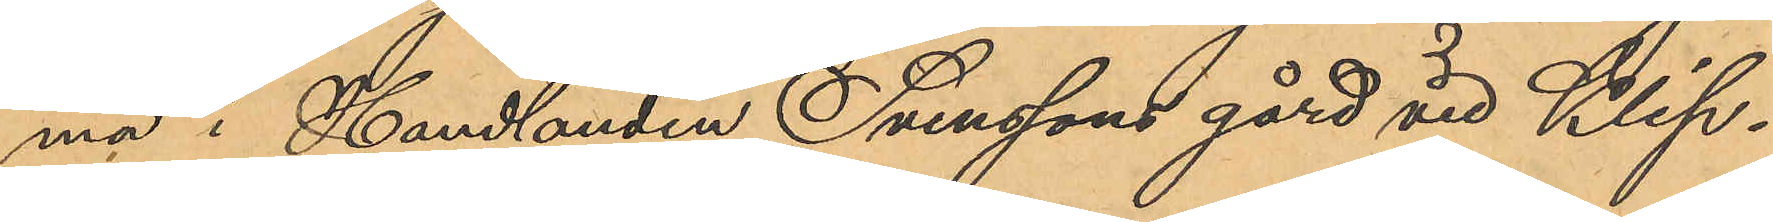ma i Handlanden Svenssons gård vid Klip¬
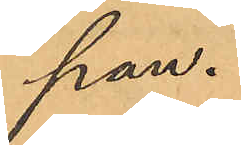pan."
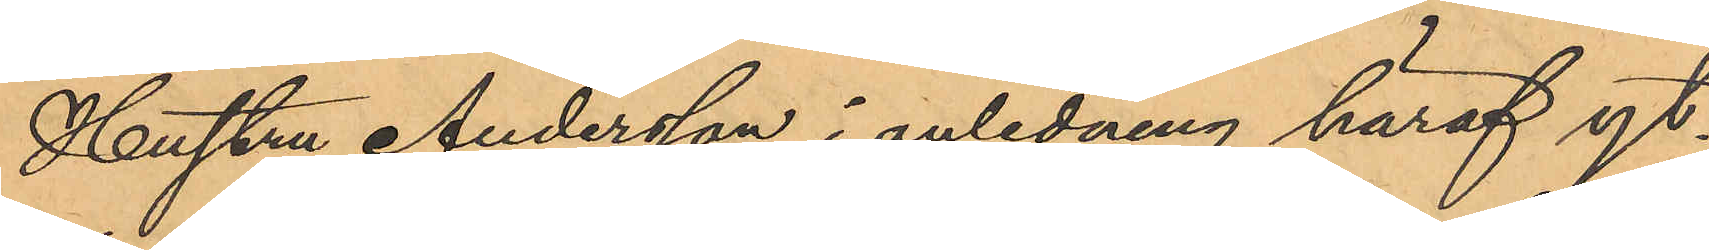Hustru Andersson i anledning häraf yt¬
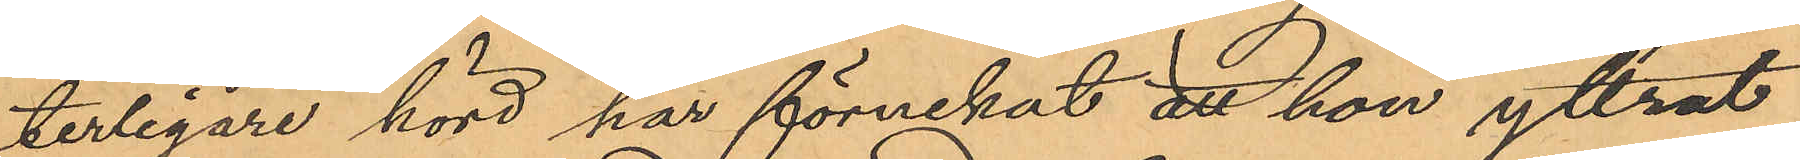terligare hörd har förnekat att hon yttrat
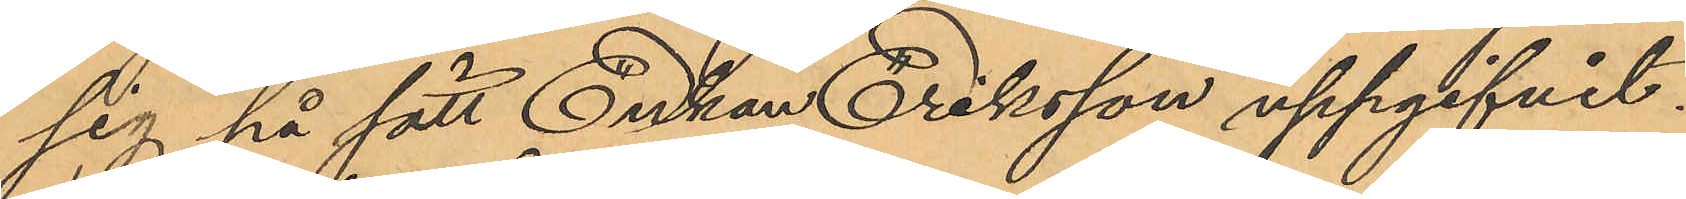sig på sätt Enkan Eriksson uppgifvit.
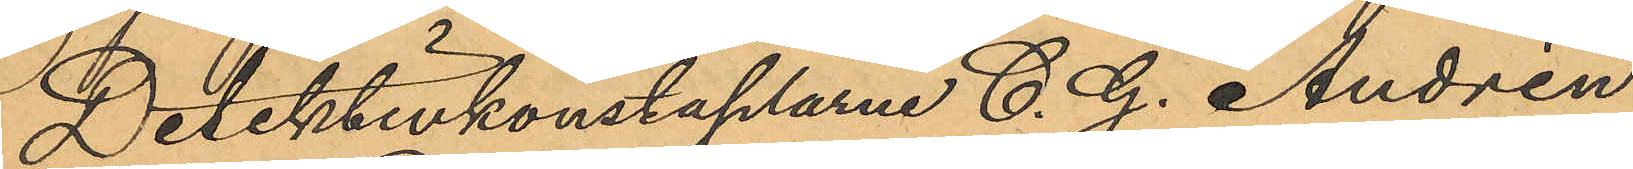Detektivkonstaplarne C. G. Andrén
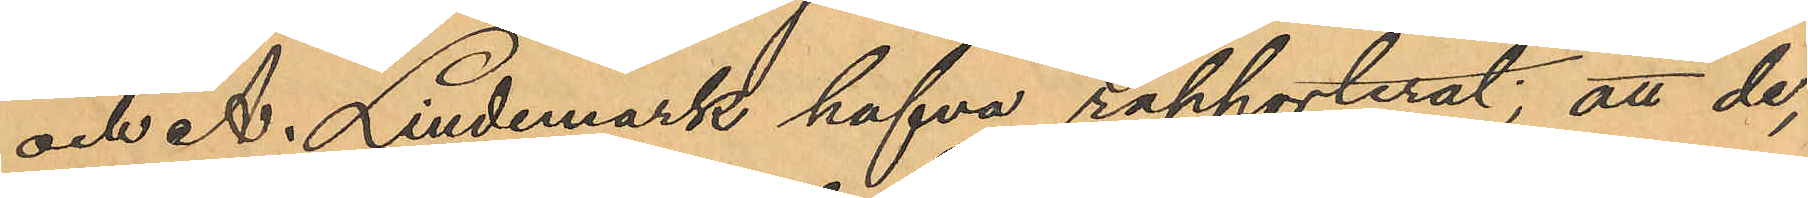och A. Lindemark hafva rapporterat; att de,
